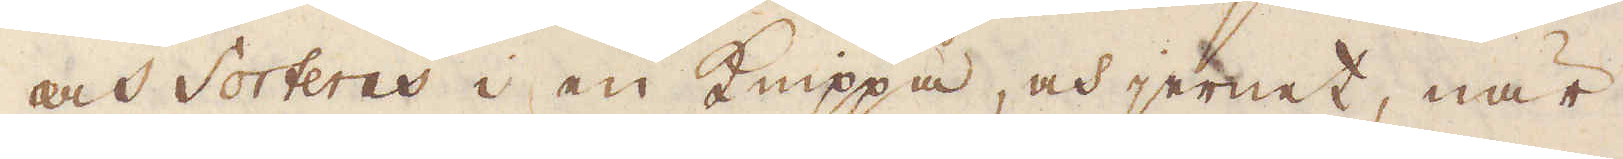och Sorteres i en Knippa, och jernet, när
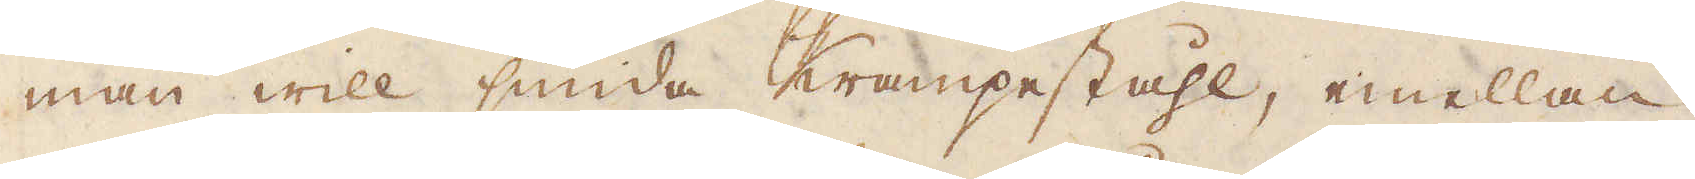man will smida Krampeståhl, emellan,
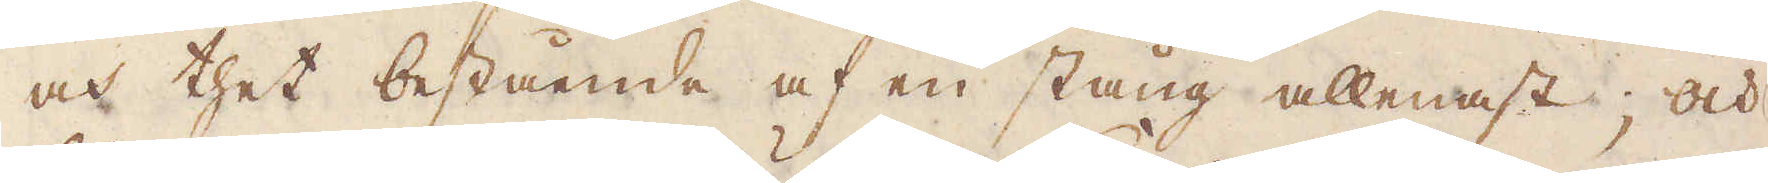och thet bestående af en stång allenast; och
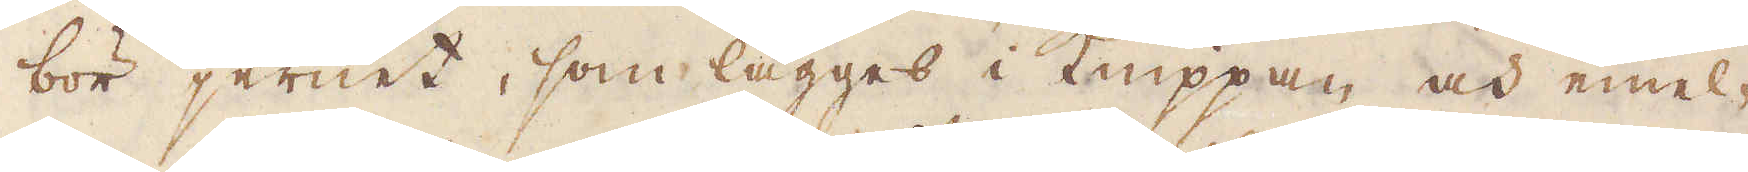bör jernet, som lägges i Knippan och emel-
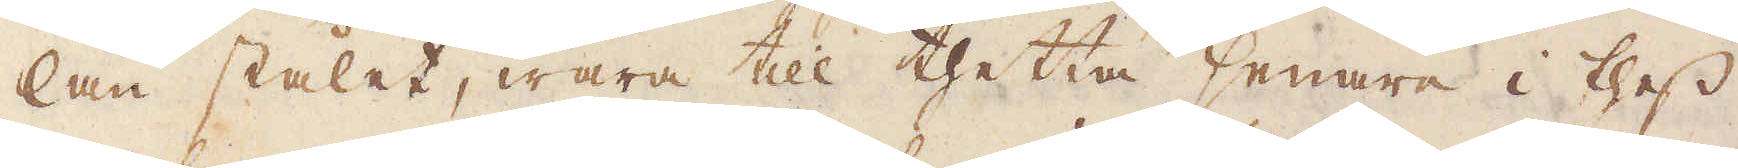lan stålet, wara till thetta senare i thess
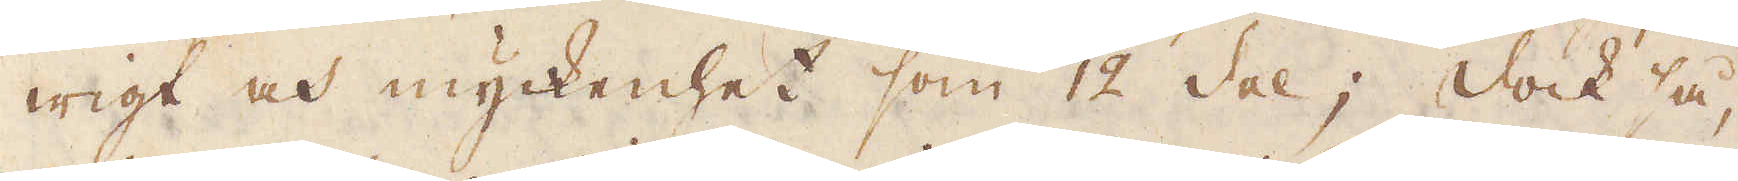wigt och myckenhet som 1/12 del; dock så,
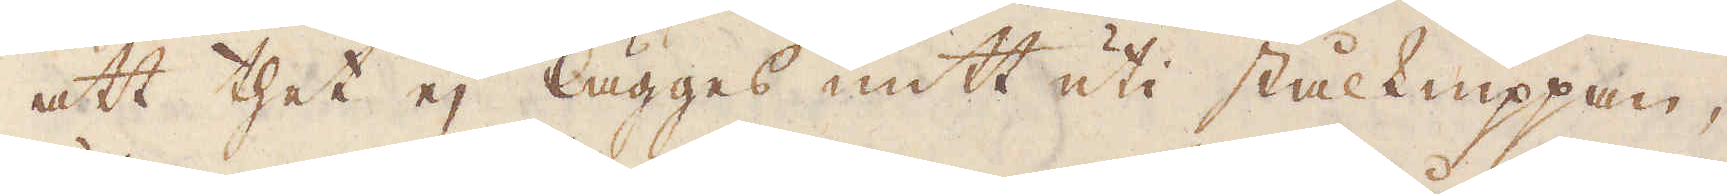att thet ej lägges mitt uti stålknippan,
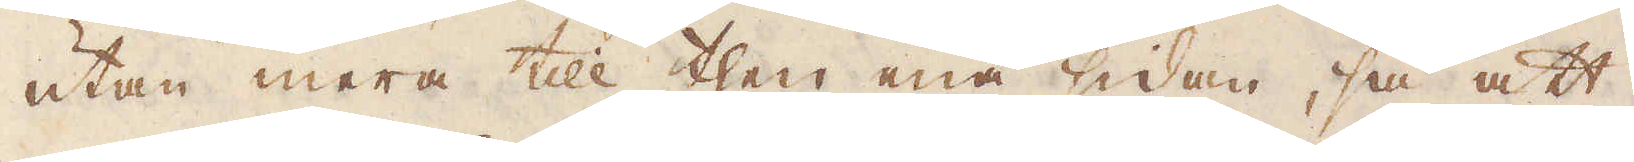utan mera till then ena sidan, så att,
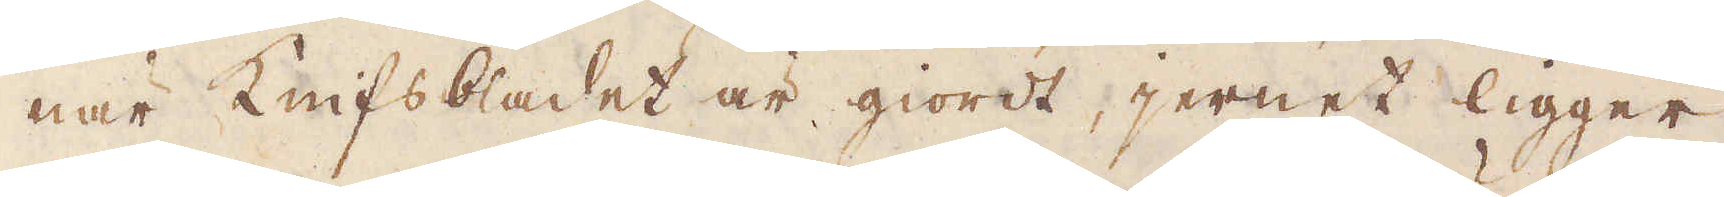när Knifsbladet är giordt, jernet ligger
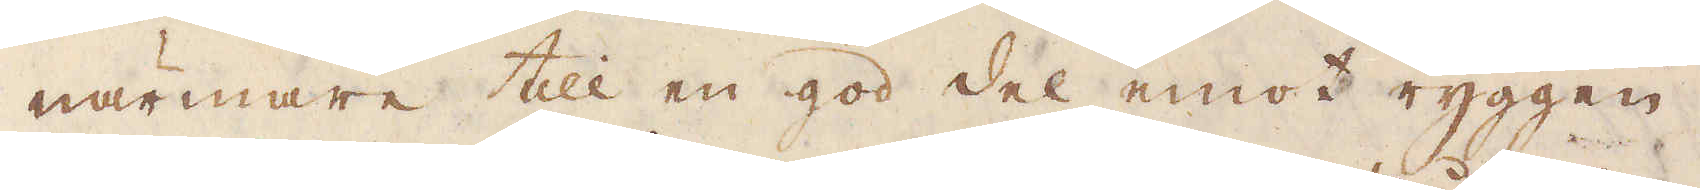närmare till en god del emot ryggen,
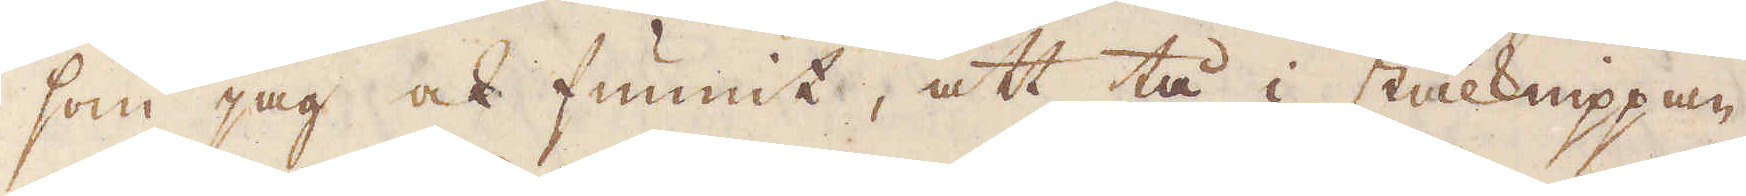som jag ock funnit, att tå i stålknippan
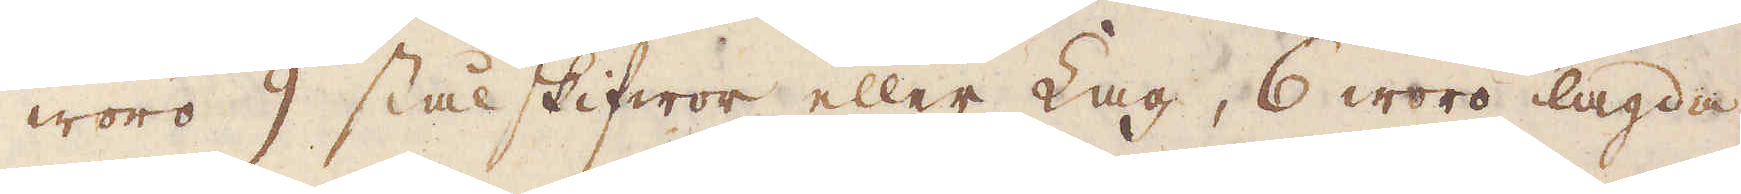woro 9 stålskifwor eller Lag, 6 woro lagda
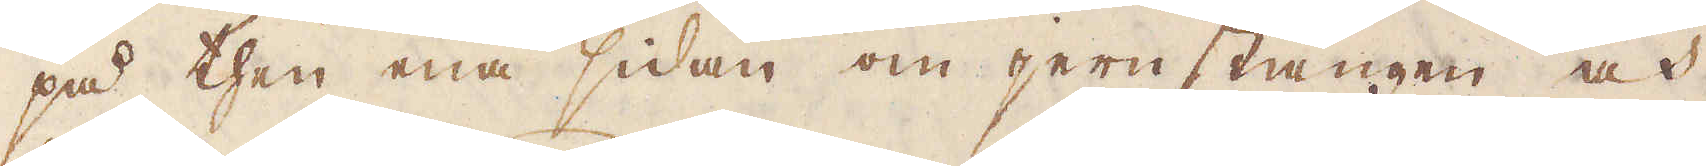på then ena sidan om jernstängen och
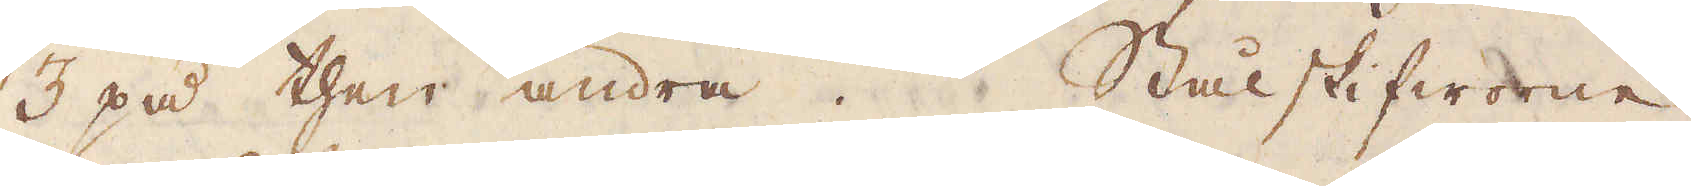3 på then andra. Stålskifworne
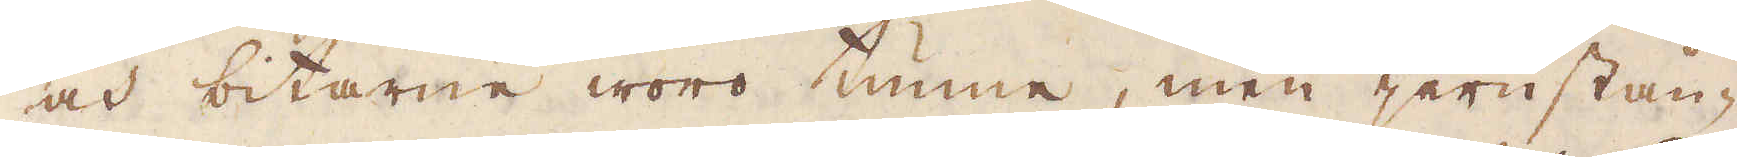och bitarne woro tunne, men jernstån-
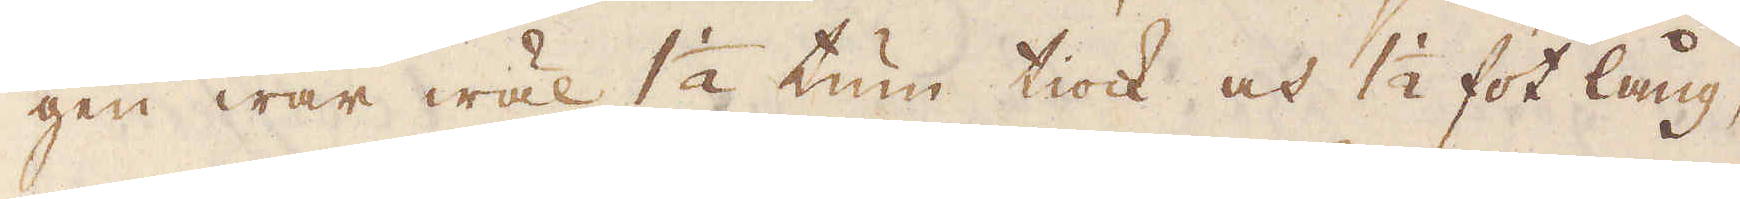gen war wäl 1 1/2 tum tiock och 1 1/2 fot lång,
